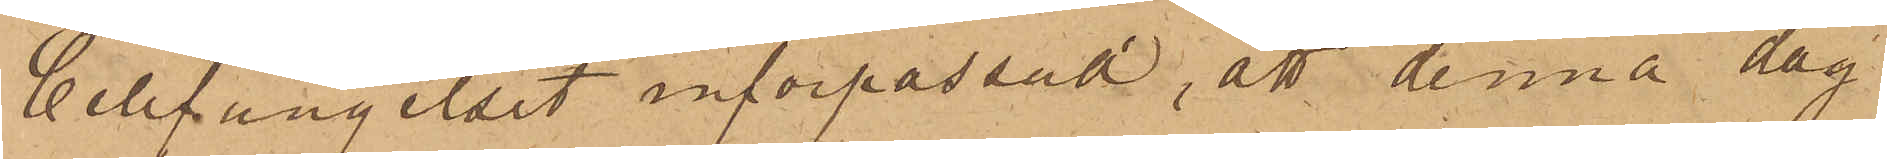Cellfängelset införpassad, att denna dag
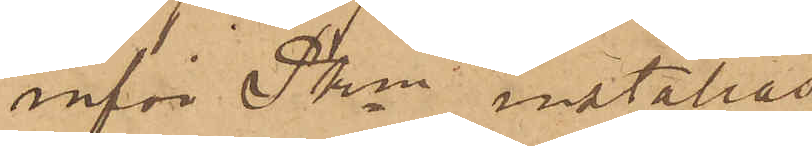inför Pkn inställas
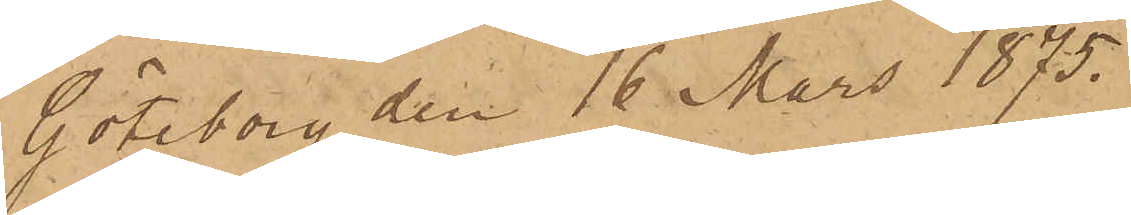Göteborg den 16 Mars 1875.
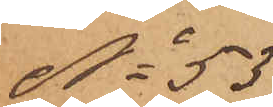No 53
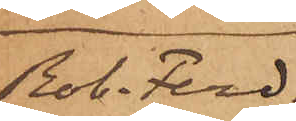Rob. Ferd.
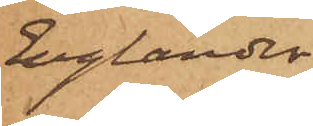Englander
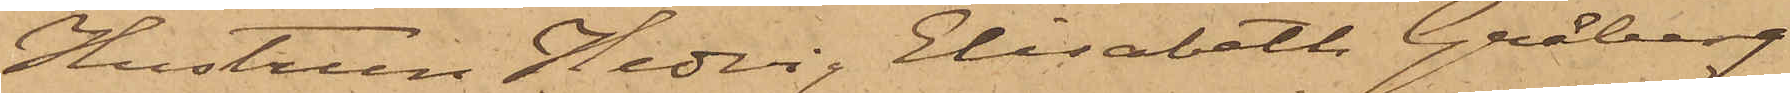Hustrun Hedvig Elisabeth Gråberg
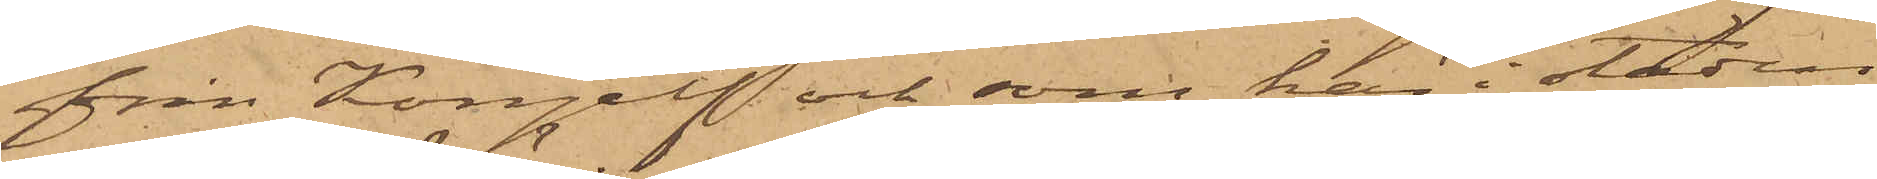från Kongelf och som här i staden
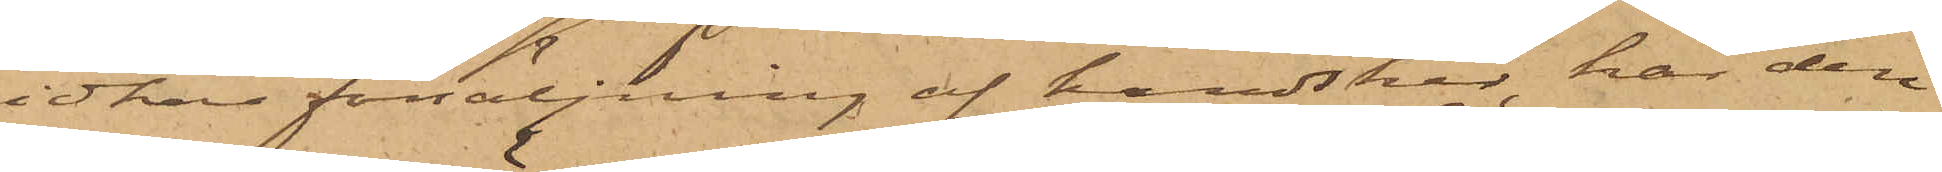idkar försäljning af handskar, har den
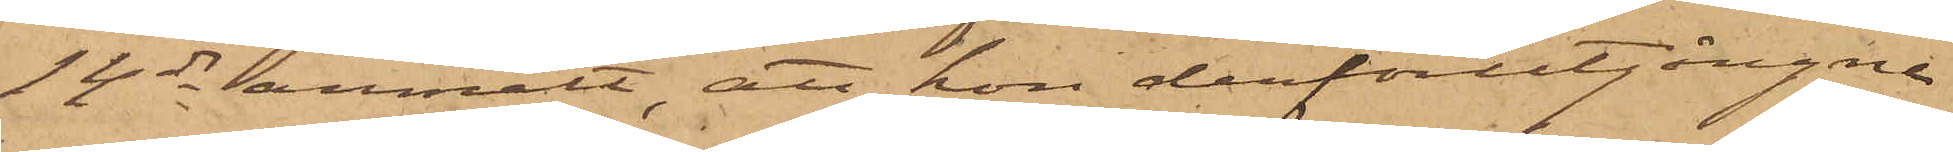14 ds anmält, att hon derförutgångne
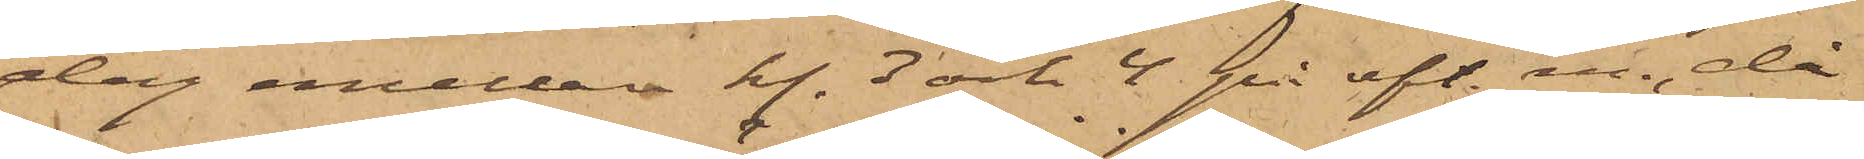dag emellan kl. 3 och 4 på eft. m. då
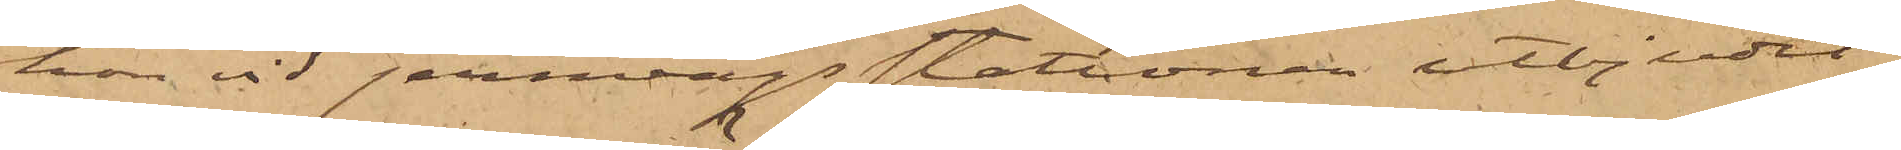hon vid jernvägsstationen utbjudit
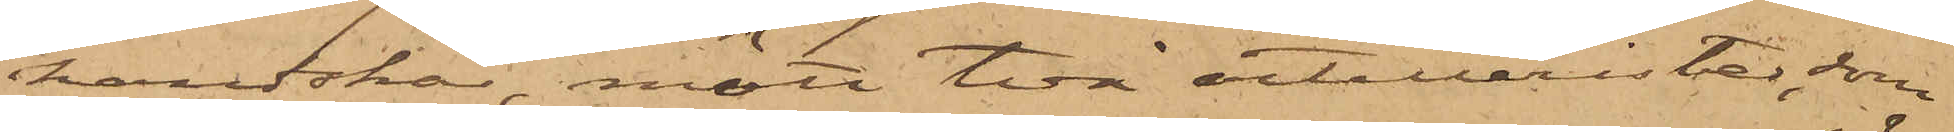handskar, mött två artillerister, som
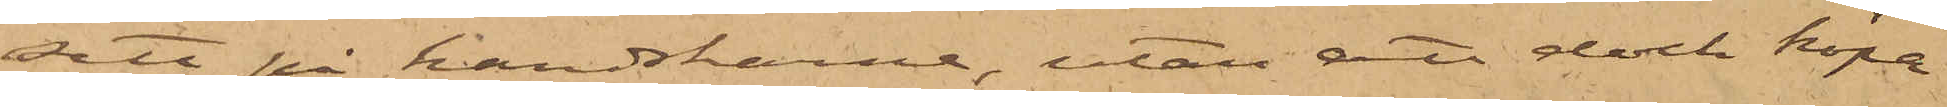sett på handskarne, utan att dock köpa
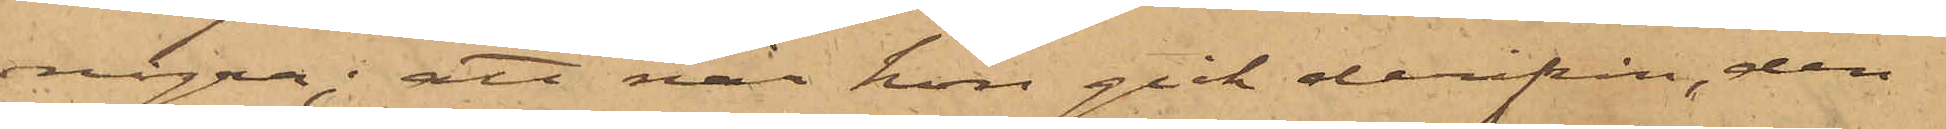några; att när hon gick derifrån, den
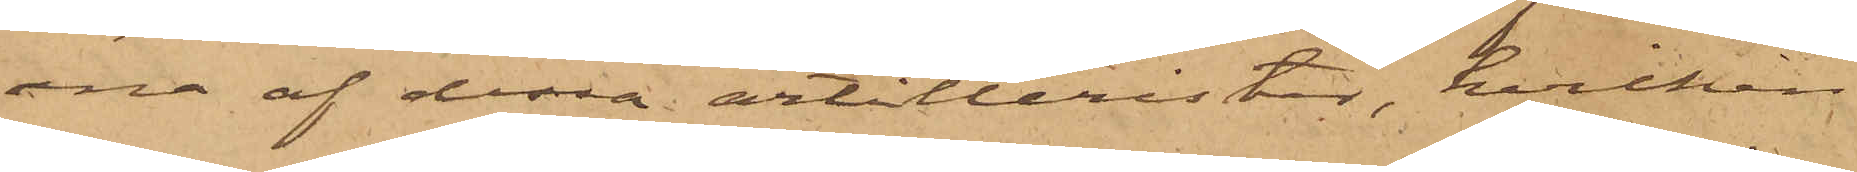ena af dessa artillerister, hvilken
